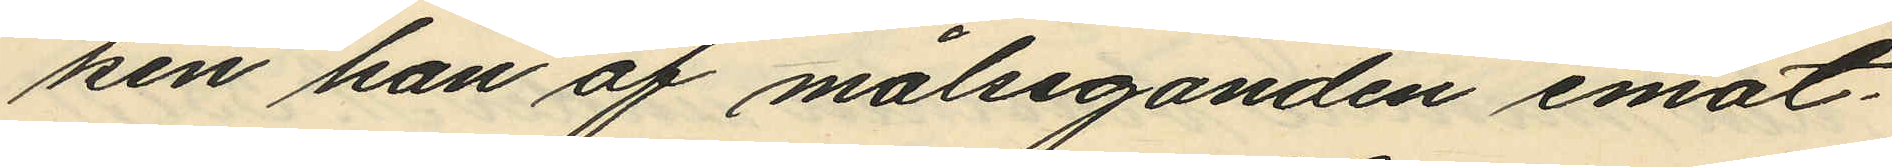ken han af målseganden emot¬
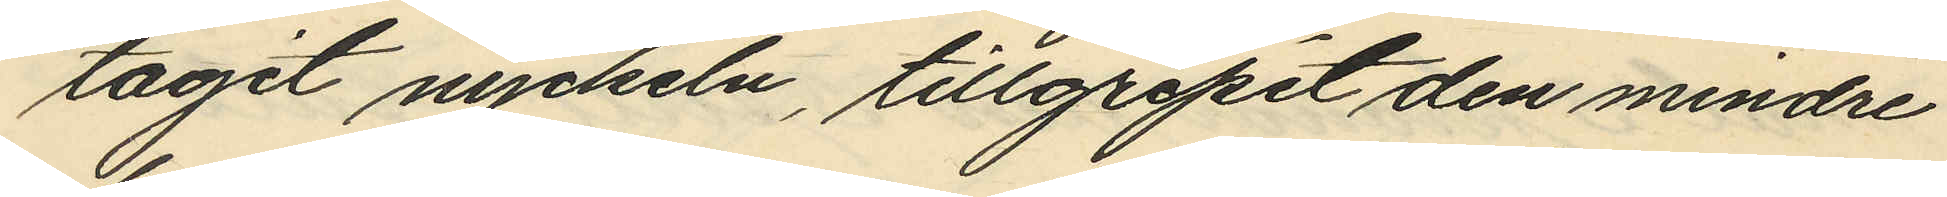tagit nyckeln, tillgripit den mindre
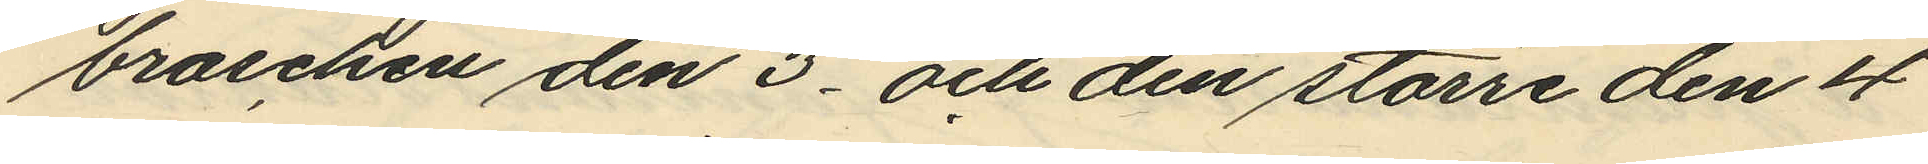broschen den 3 och den större den 4
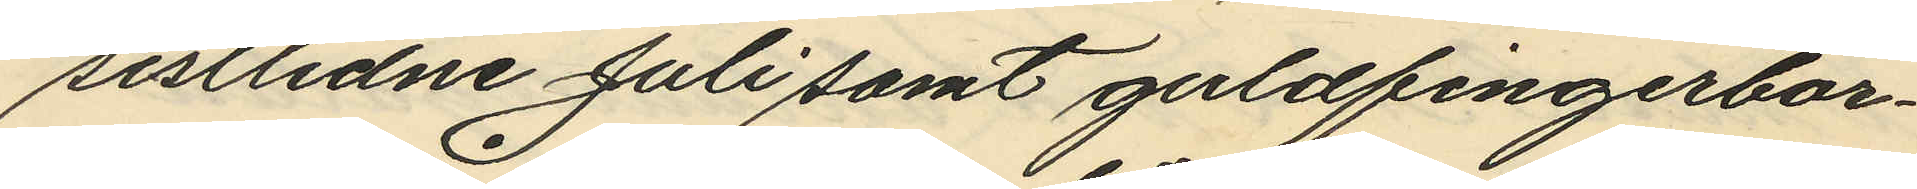sistlidne Juli samt guldfingerbor¬
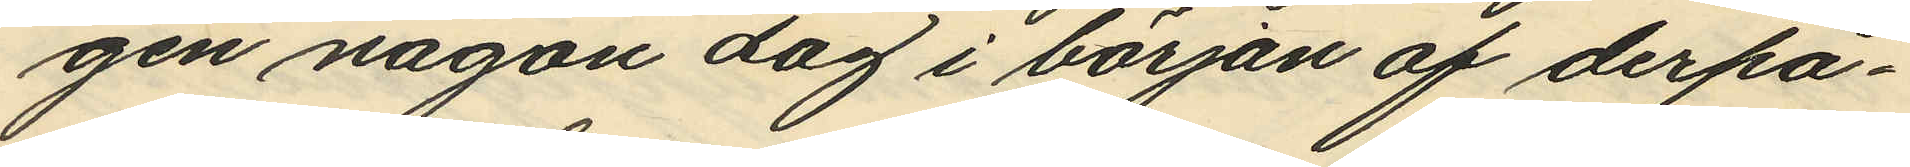gen någon dag i början af derpå¬
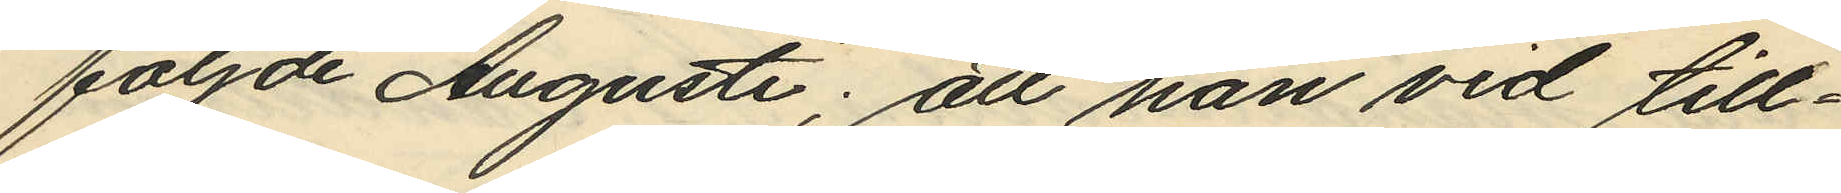följde Augusti; att han vid till¬
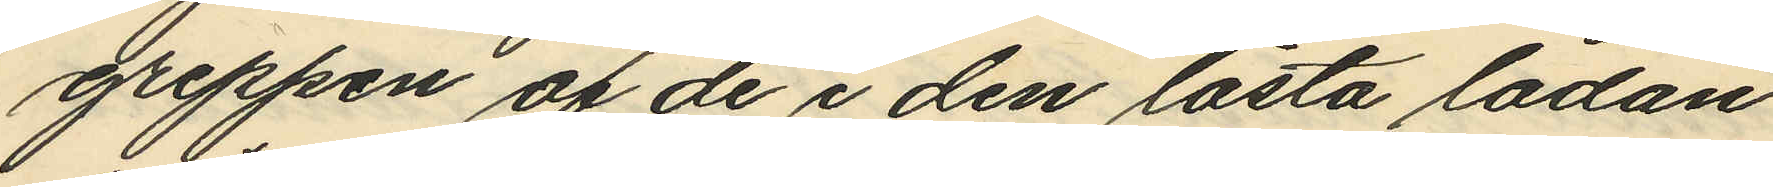greppen af de i den låsta lådan
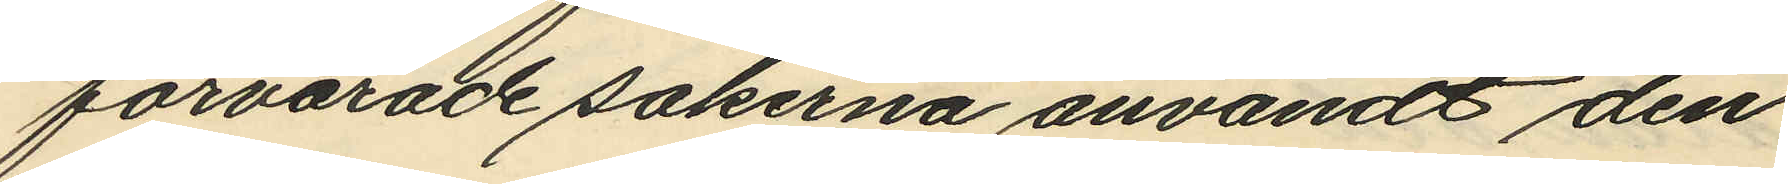förvarade sakerna användt den
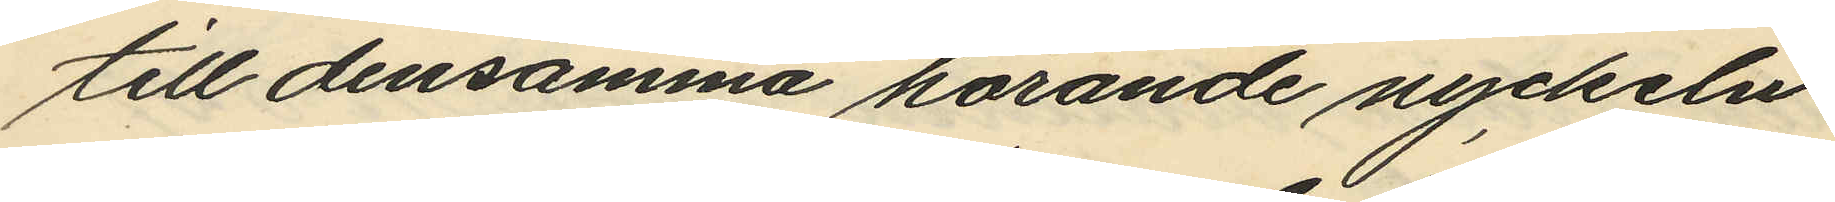till densamma hörande nyckeln
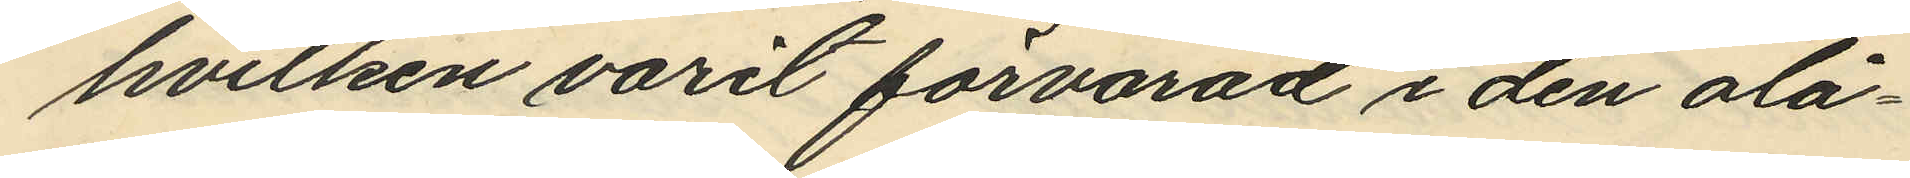hvilken varit förvarad i den olå¬
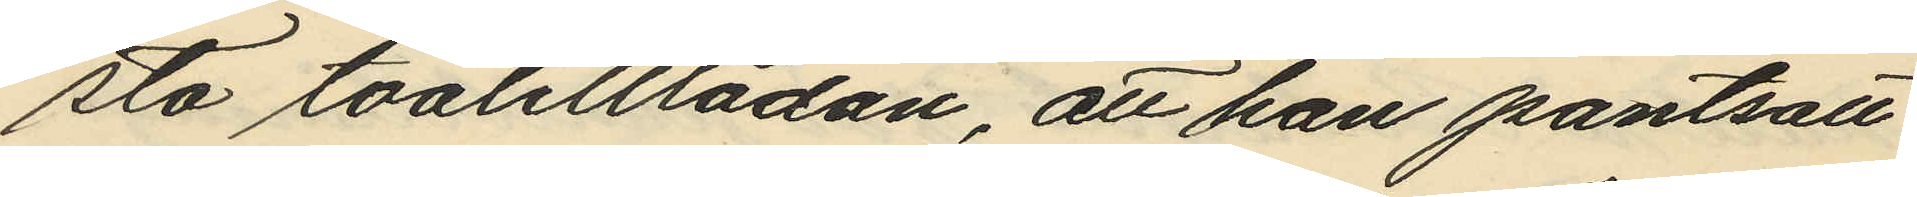sta toalettlådan, att han pantsatt
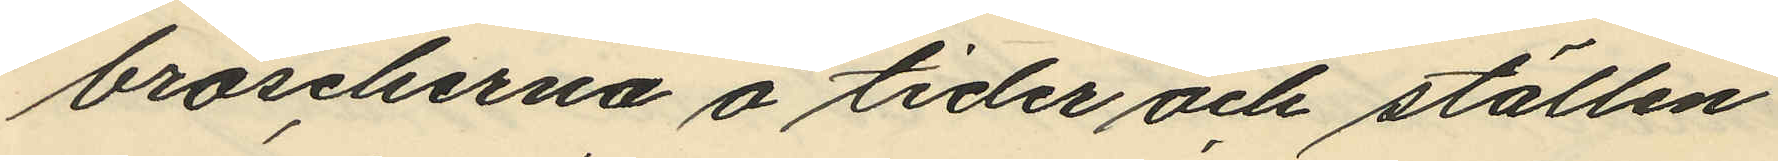broscherna å tider och ställen
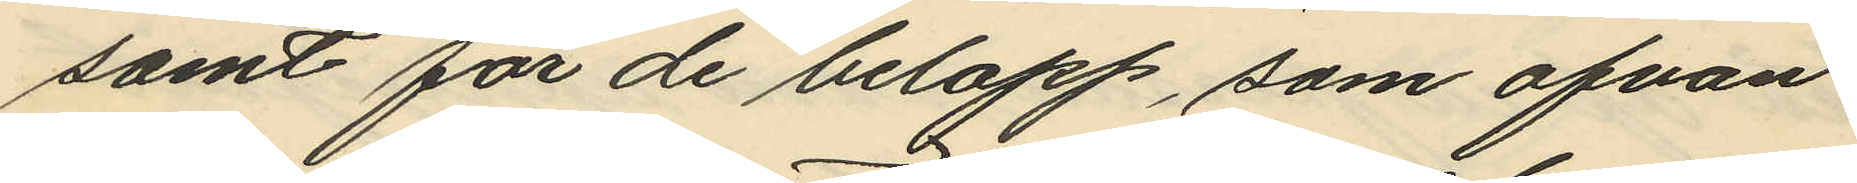samt för de belopp, som ofvan
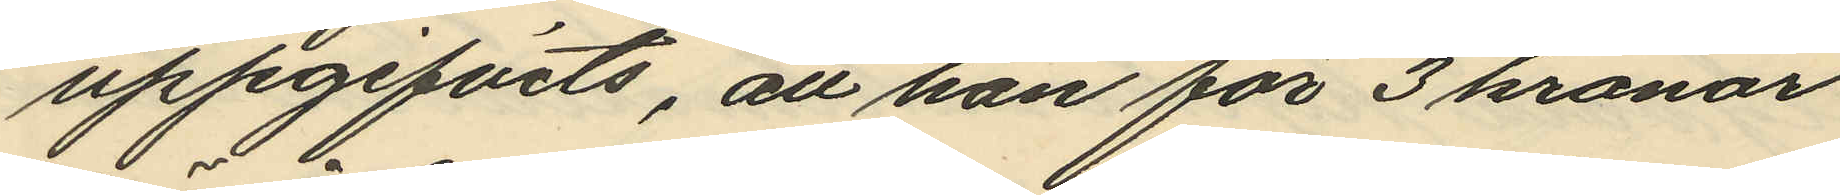uppgifvits, att han för 3 kronor
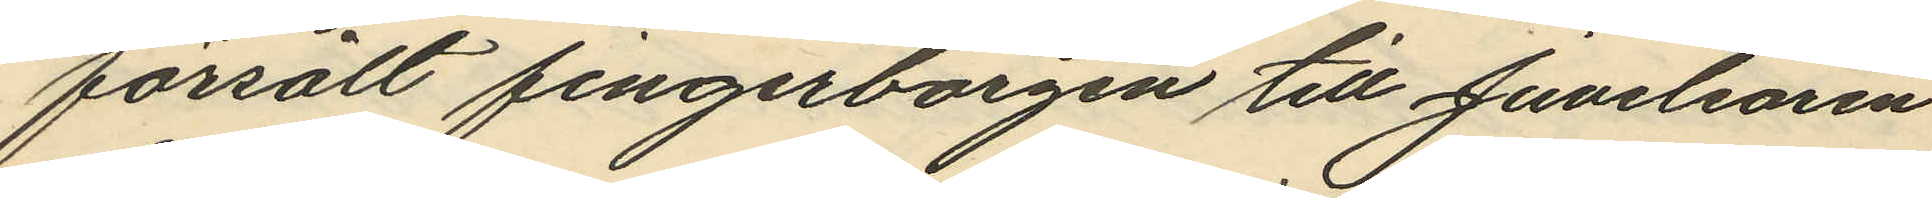försålt fingerborgen till Juvelearen
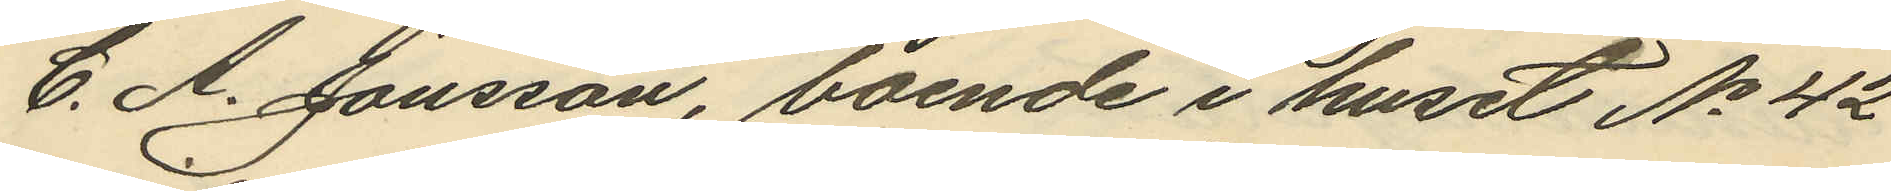C. A. Jonsson, boende i huset No 42
